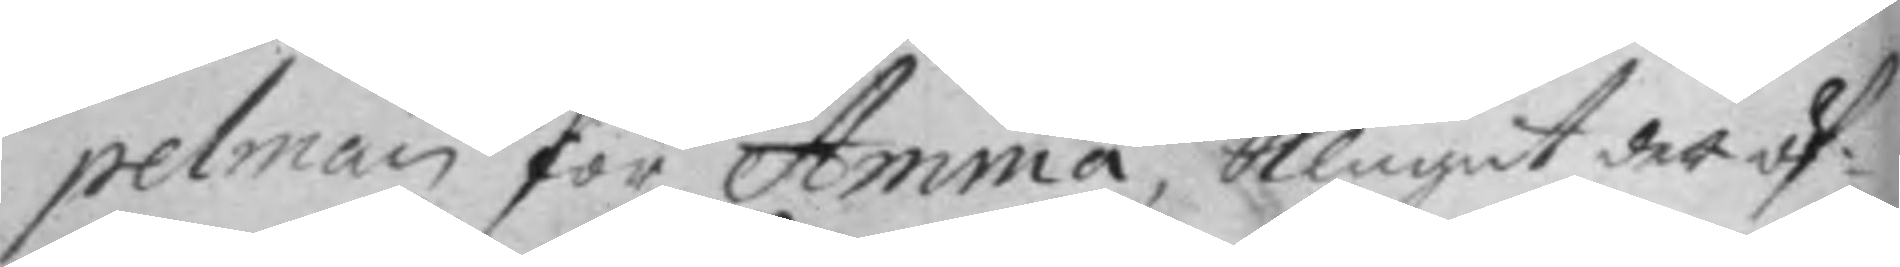pelman för Amma, klagat det öf¬
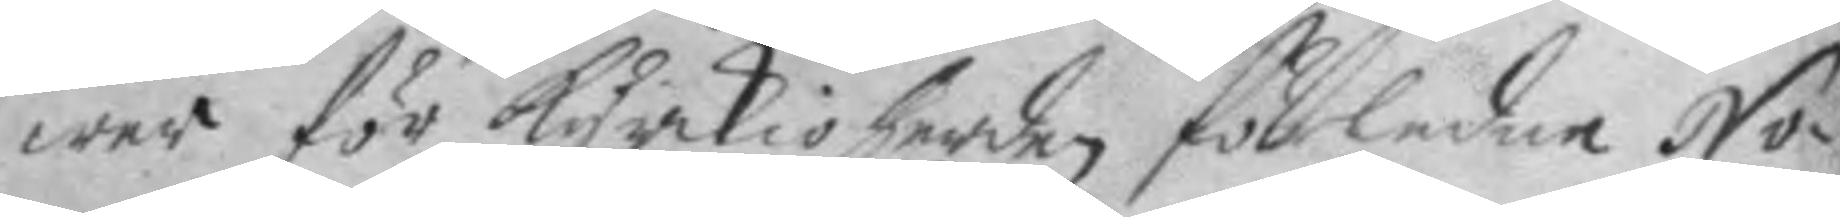wer för kyrkioherden förledne No¬
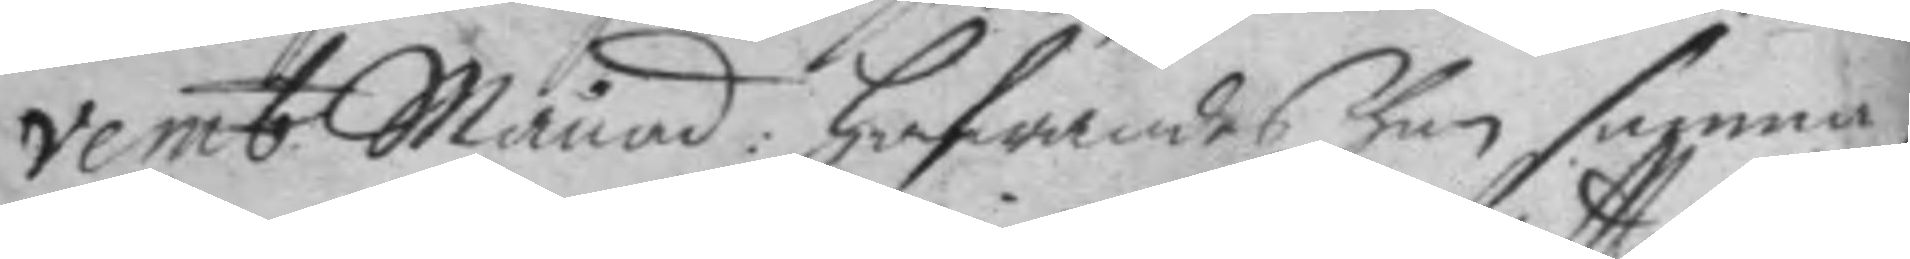vemb. Månad: hafwandes han samma
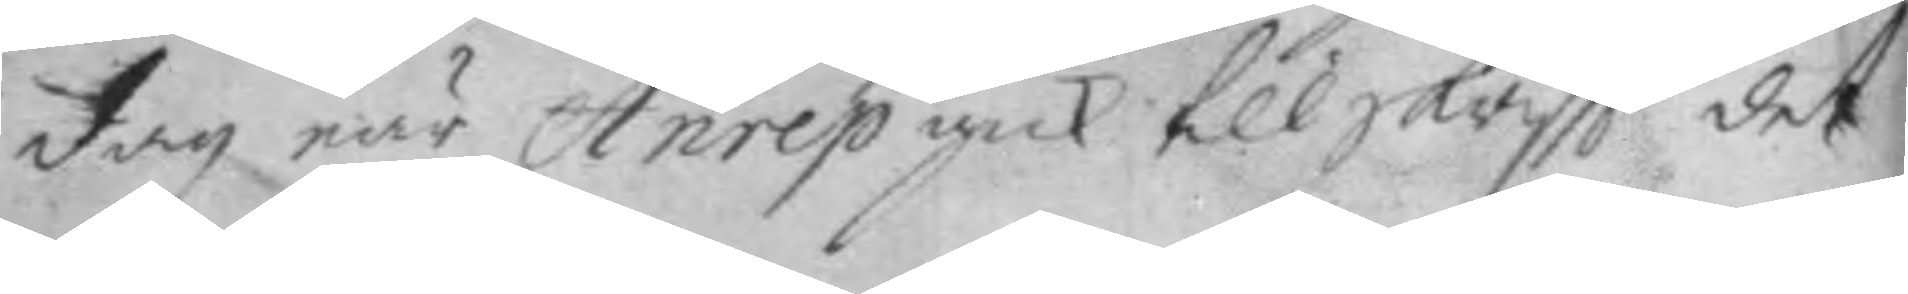dag när Anrep gick till skriftt det
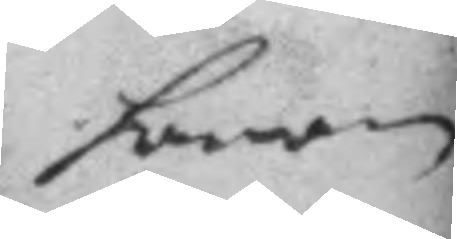honom
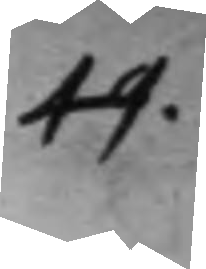49.
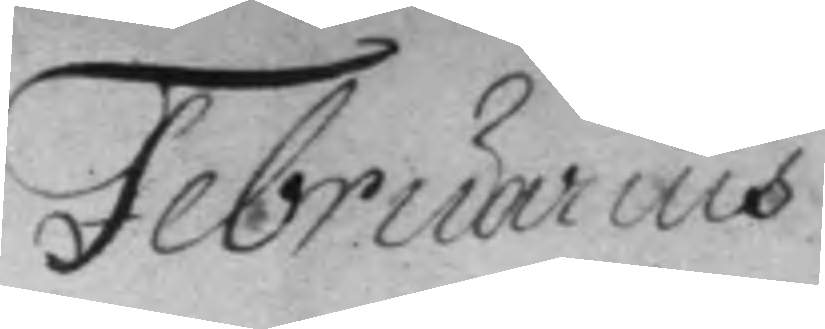Februaris
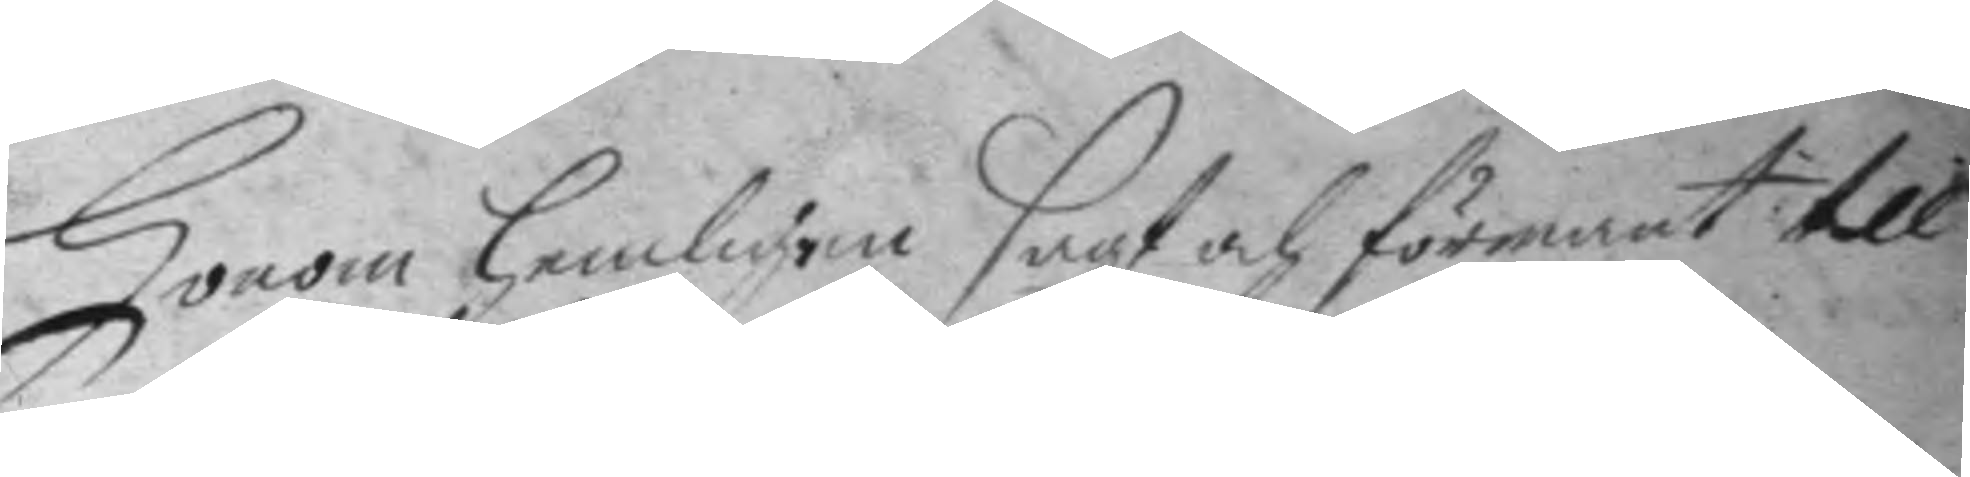honom hemligen sagt och förmant till
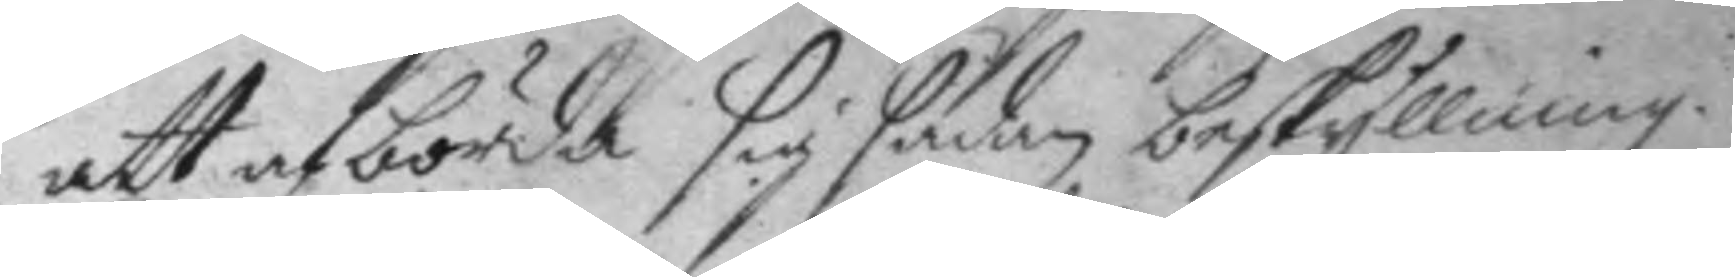att afbörda sig sådan beskyllning.
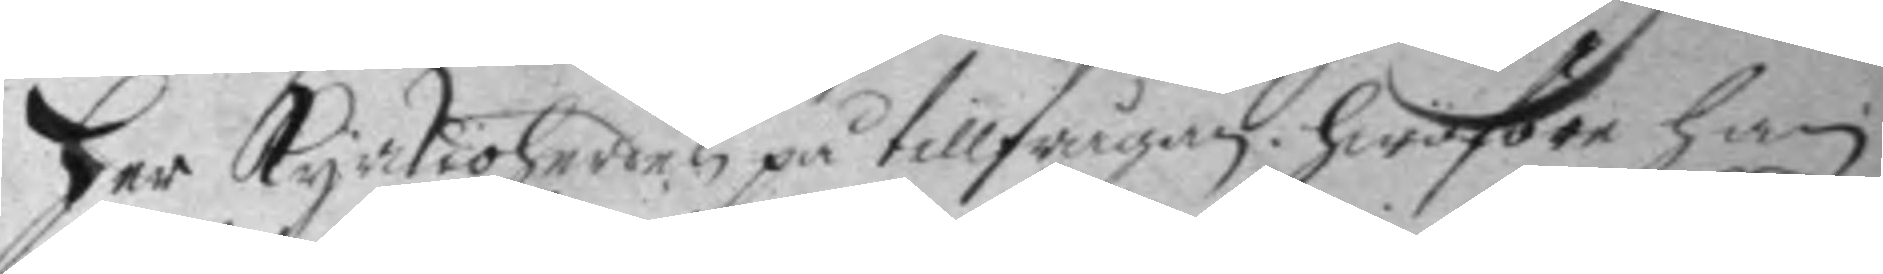her kyrkioherden på tillfrågan; hwarföre han
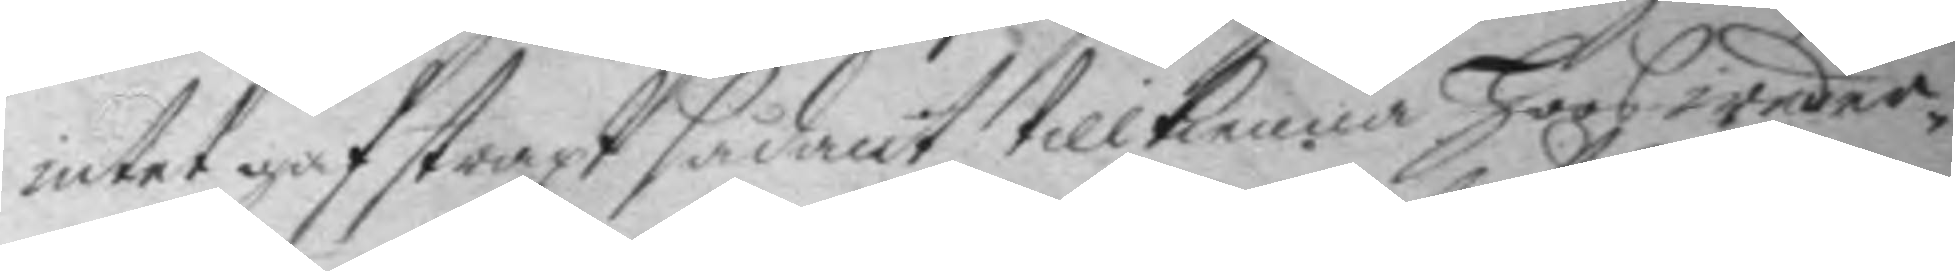intet gaf straxt sådant tillkenna hoos weder¬
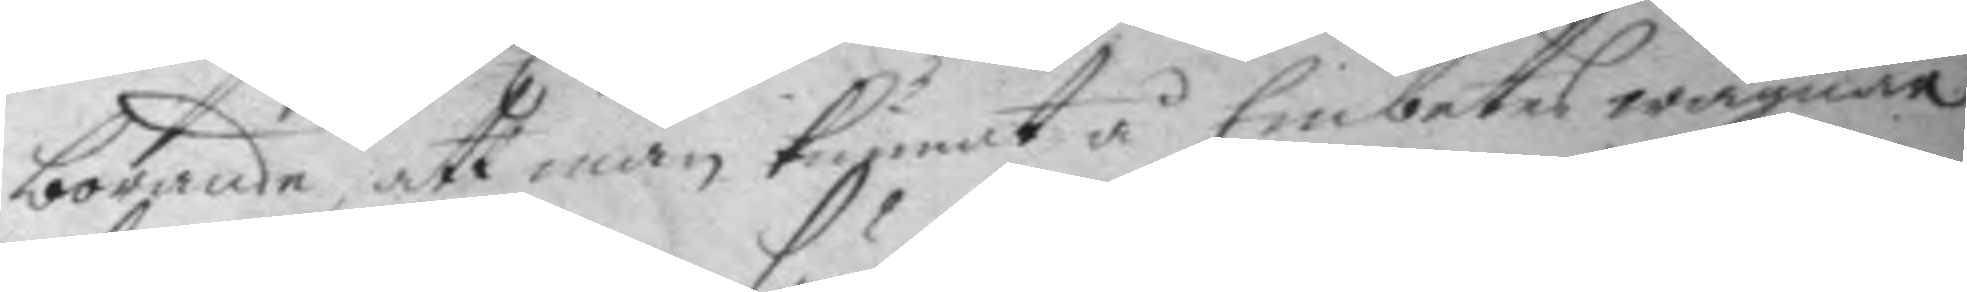börande, att man kunnat å Embetets wägnar
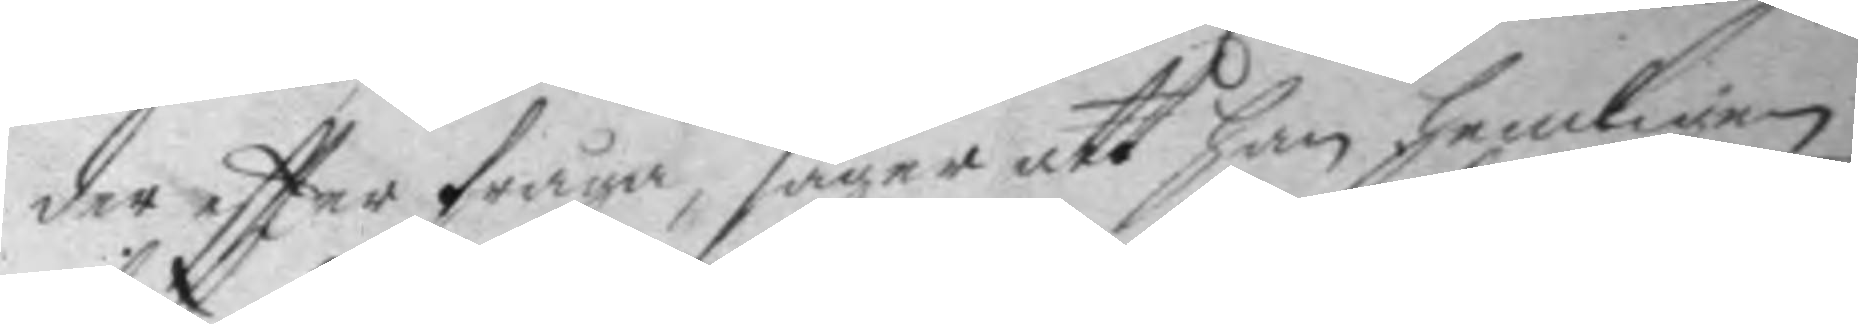der eftter fråga, säger att han hemligen
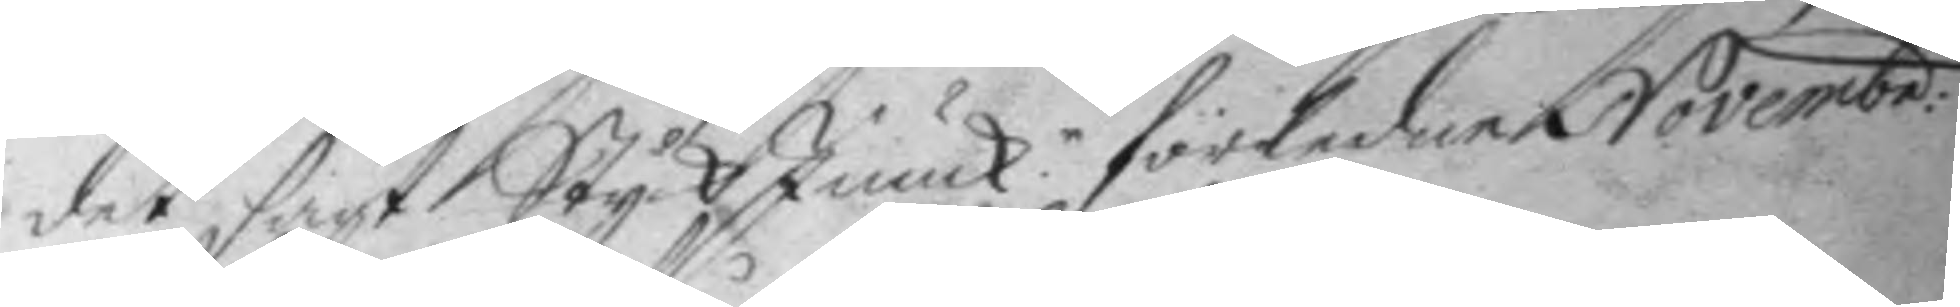det sagt Styck Junck.n förledne Novembr:
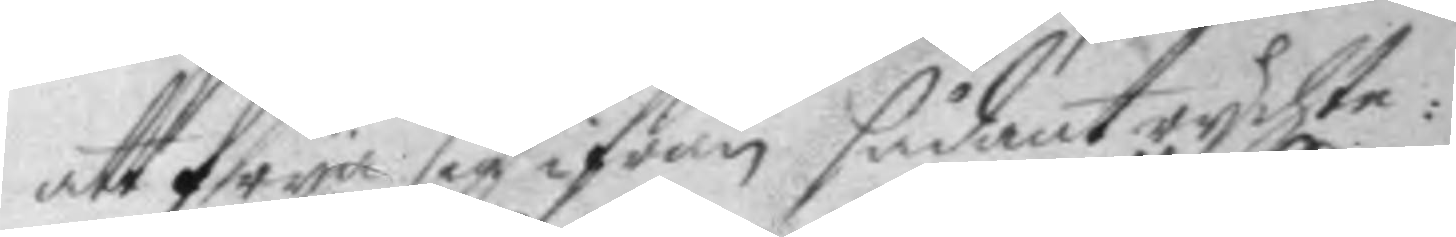att frya sig ifrån sådant rychte:
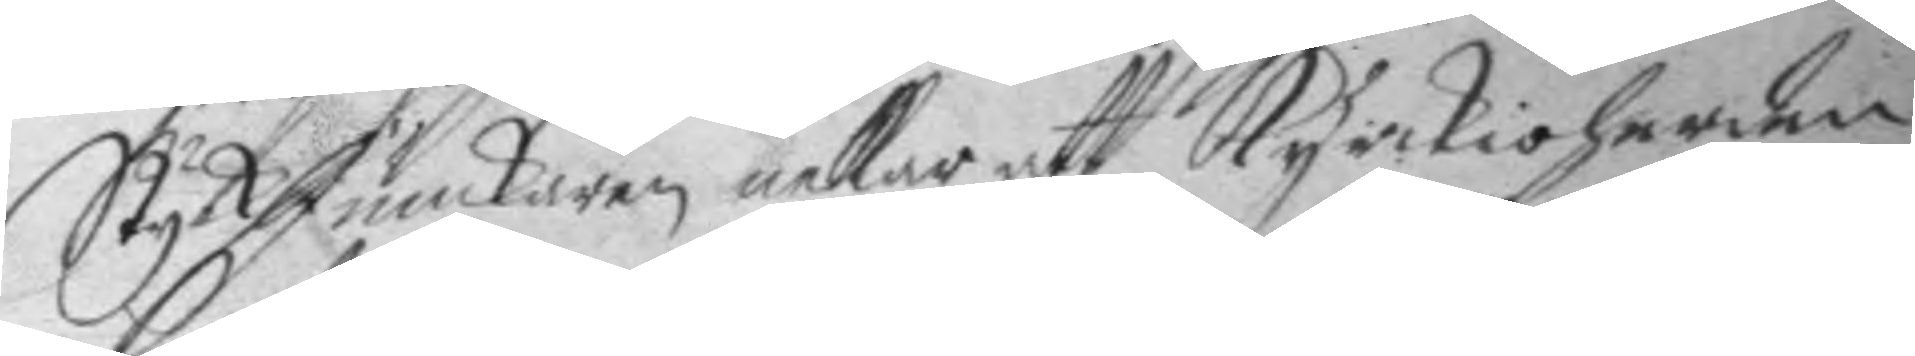Styck Junckaren nekar att kyrkioherden
